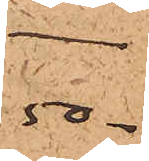50.
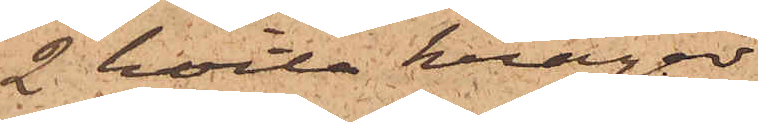2 hvita kragar
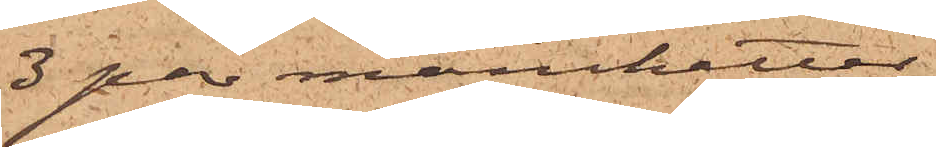3 par manchetter
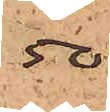50
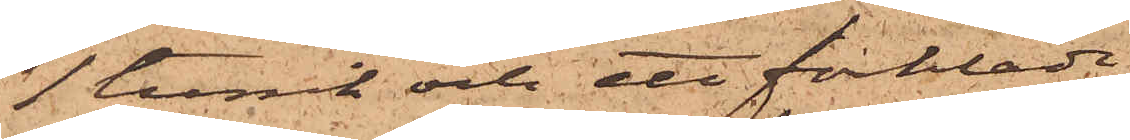1 tunik och ett förkläde
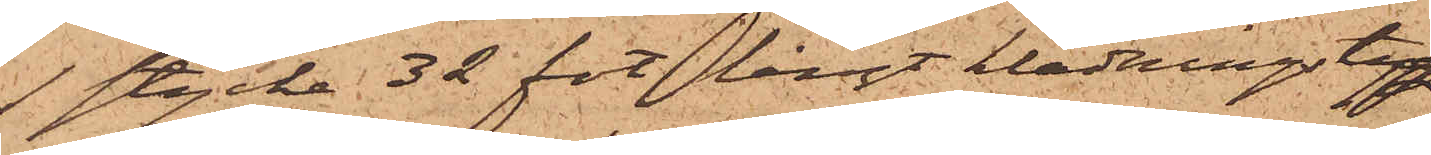1 stycke 32 fot långt klädningstyg
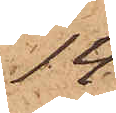14
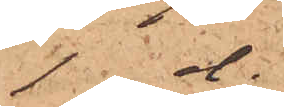1 d.
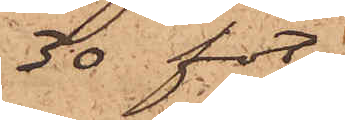30 fot
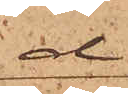do
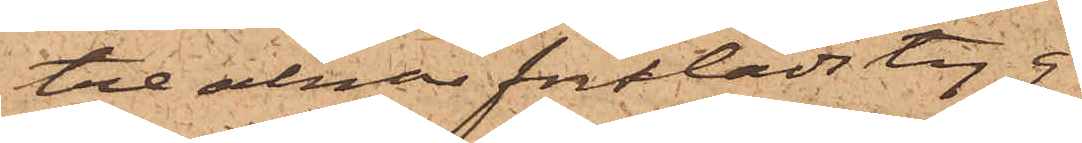tre alnar förklädstyg
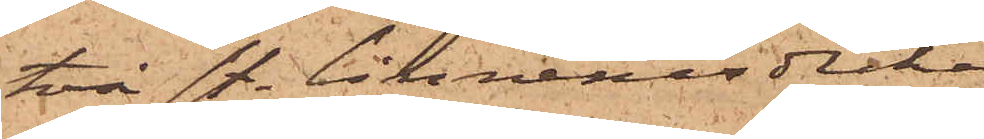två st. linnenäsdukar
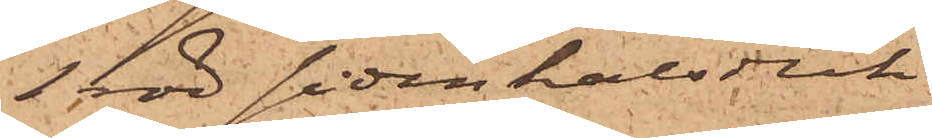1 röd sidenhalsduk
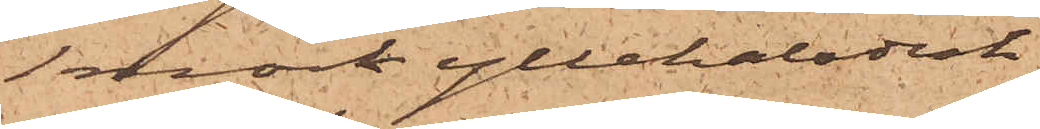1 mörk yllehalsduk
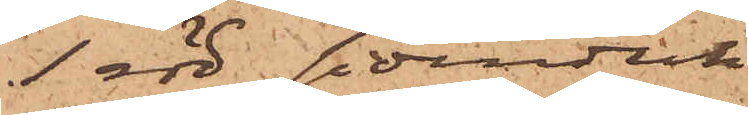1 röd sidenduk
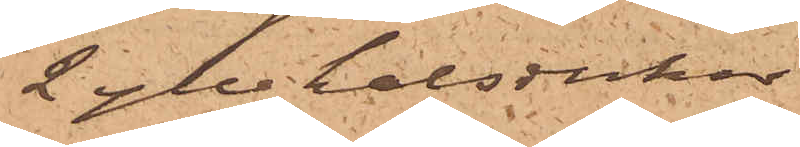2 yllehalsdukar
